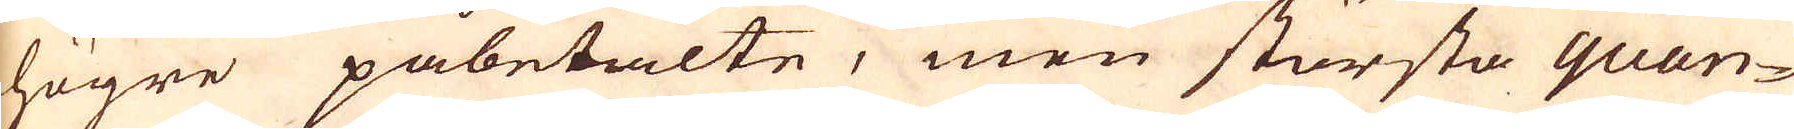högre påbetalte, men största quan-
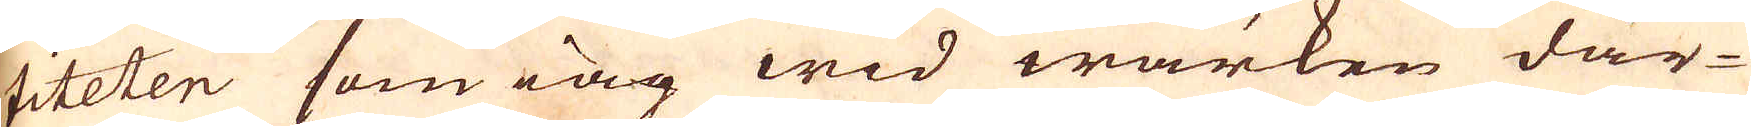titeten som iag wid wärken där-
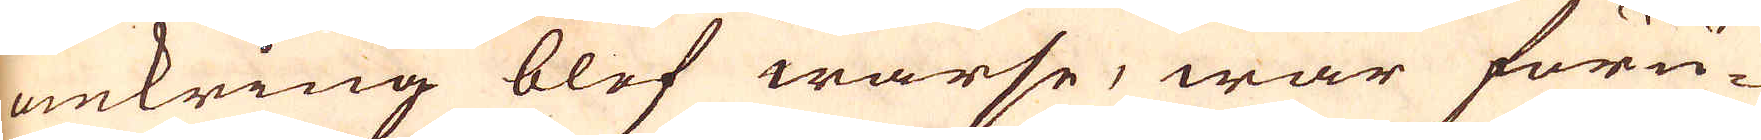omkring blef warse, war föru-
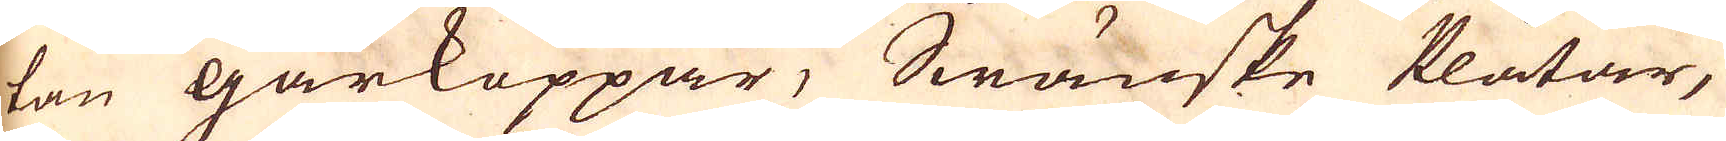tan gårkoppar, Swänske Plåtar,
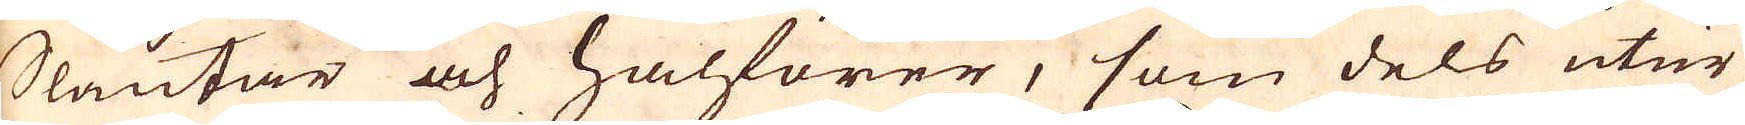Slantar och halförer, som dels utur
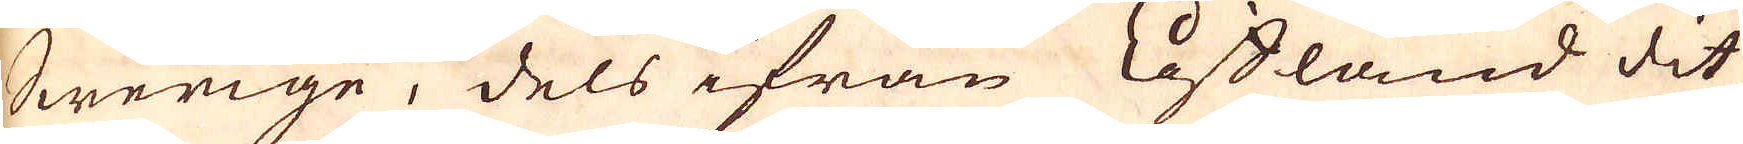Swerige, dels ifrån Lifland dit
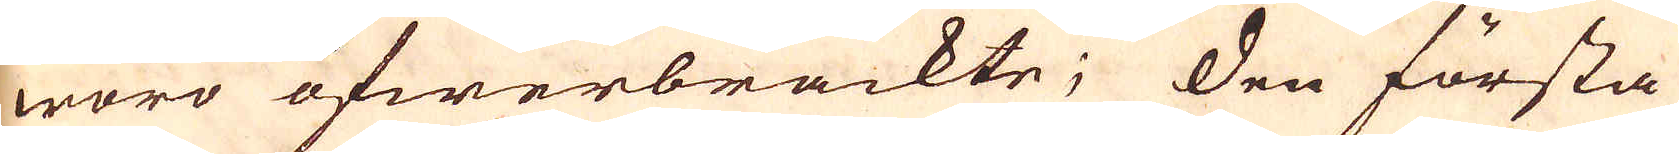woro öfwerbrackte; Den första
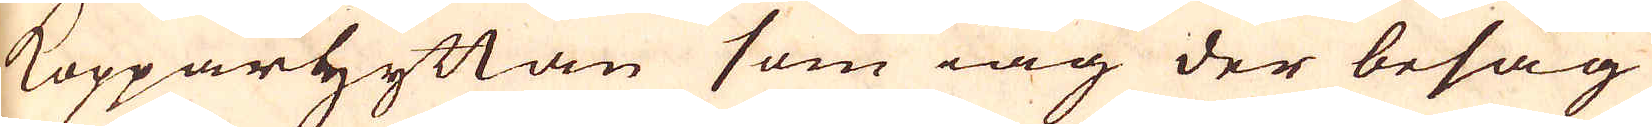Kopparhyttan som iag der besåg
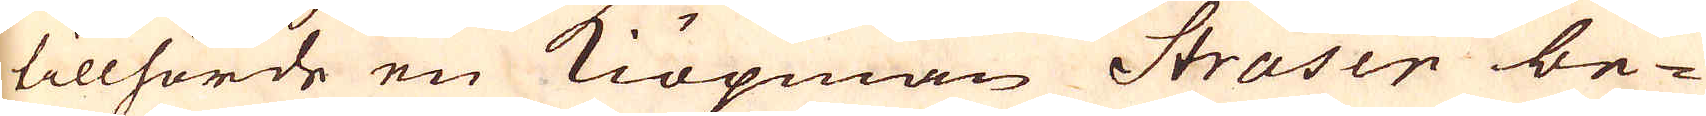tillhorde en Kiöpman Straser be-
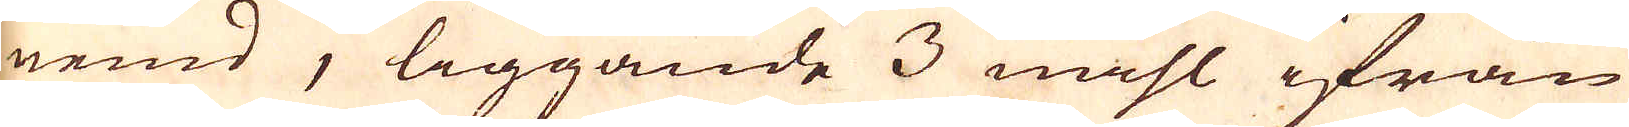nemd, liggande 3 mihl ifrån
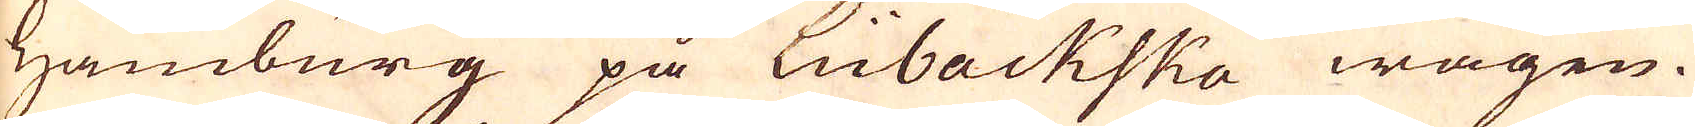Hamburg på Lübäckska wägen.
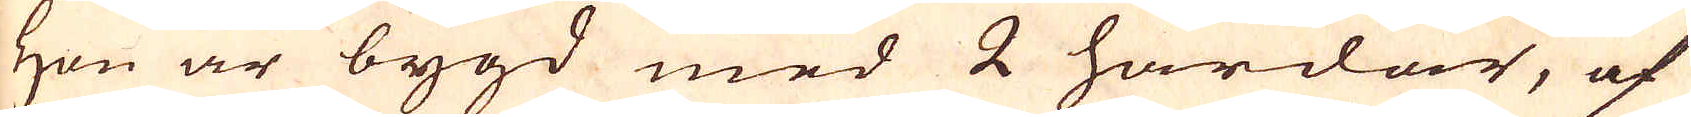Hon är bygd med 2 härdar, af
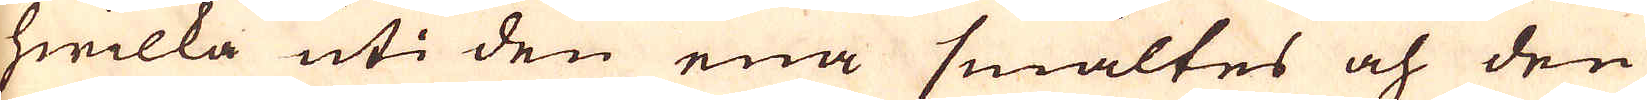hwilka uti den ena smältes och den
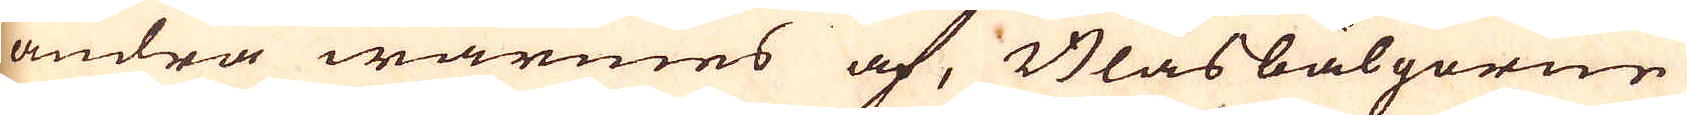andra wärmes af, Blåsbälgorne
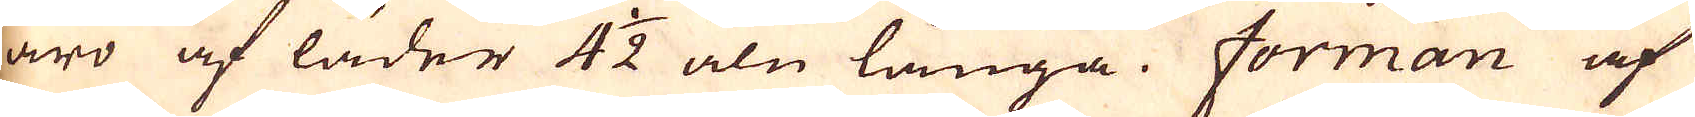äro af läder 4 1/2 aln långa. Forman af
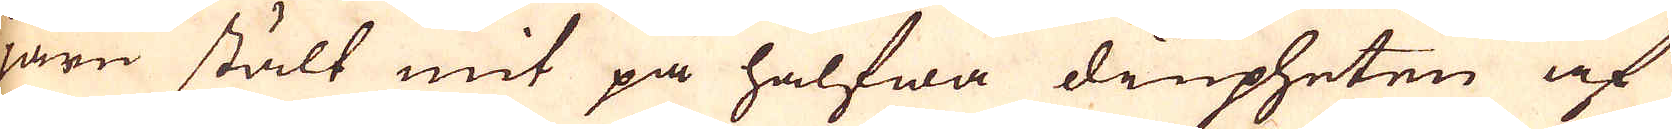järn stält mit på halfwa diupheten af
